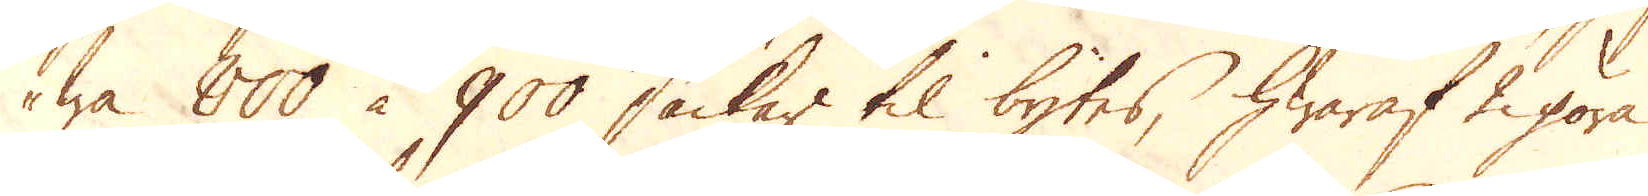wa 800 à 900 säckar til bytes, hwaraf 2 göra
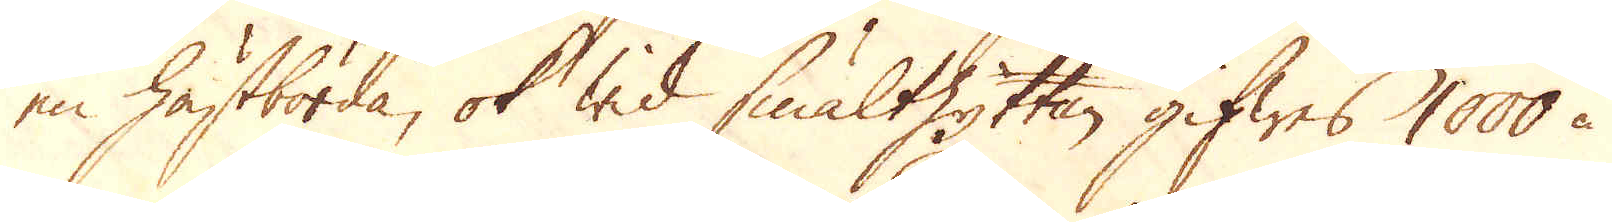en hästbörda, ok wid smälthyttan gifwes 1000 à
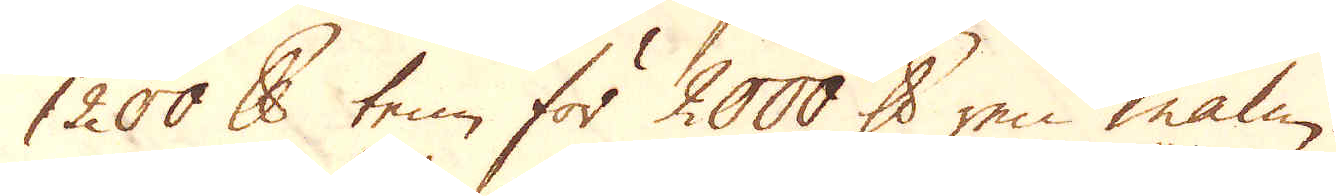1200 skålpund tenn för 2000 skålpund ren malm.
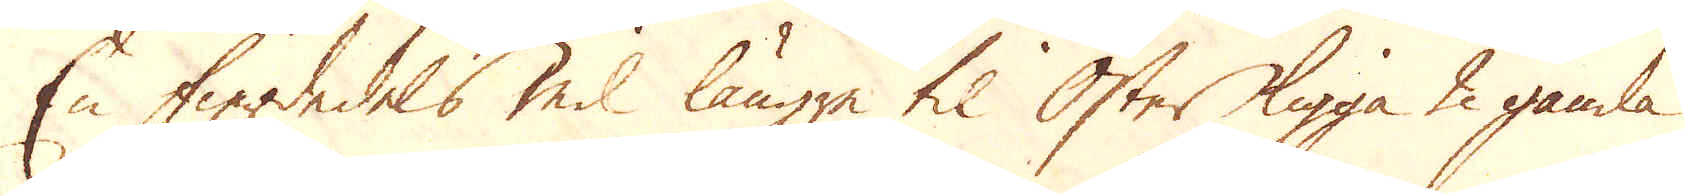En fierdedels mil längre til Öster ligga 2 gamla
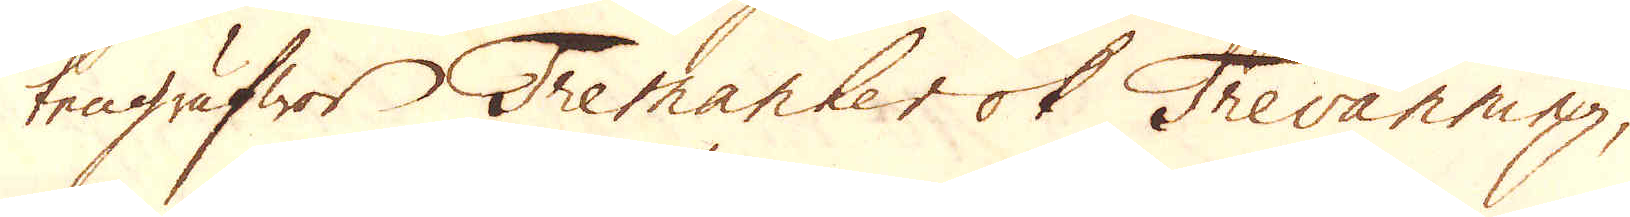tengrufwor Tremanker ok Trevanning,
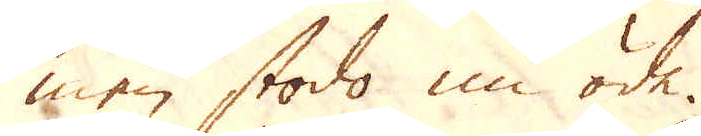men stodo nu öde.
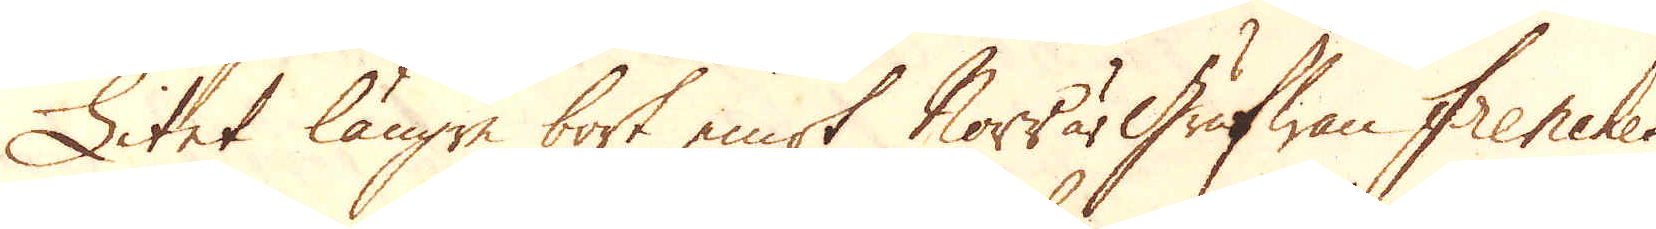Litet längre bort emot Norr är Grufwan frenches
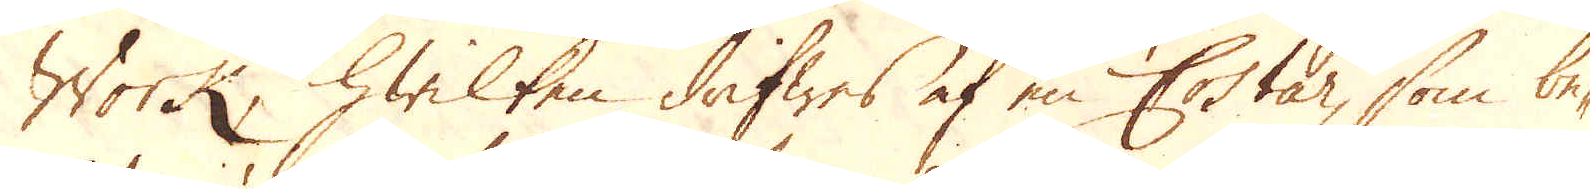Work, hwilken drifwes af en Costar, som be-
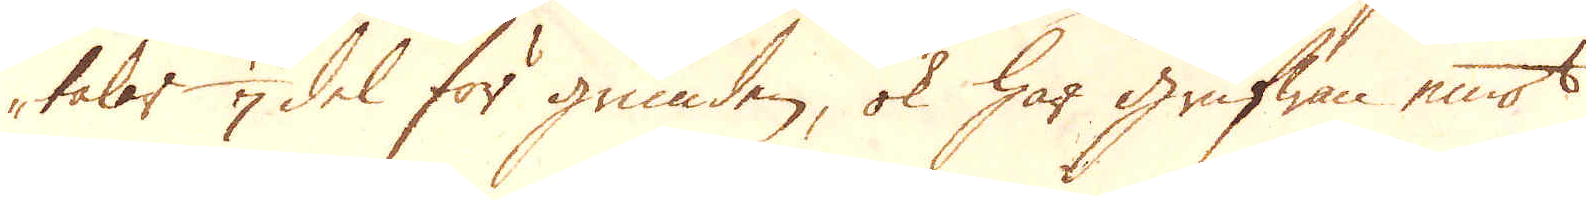talar 1/7 del för grunden, ok har grufwan emot
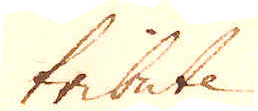tribute.
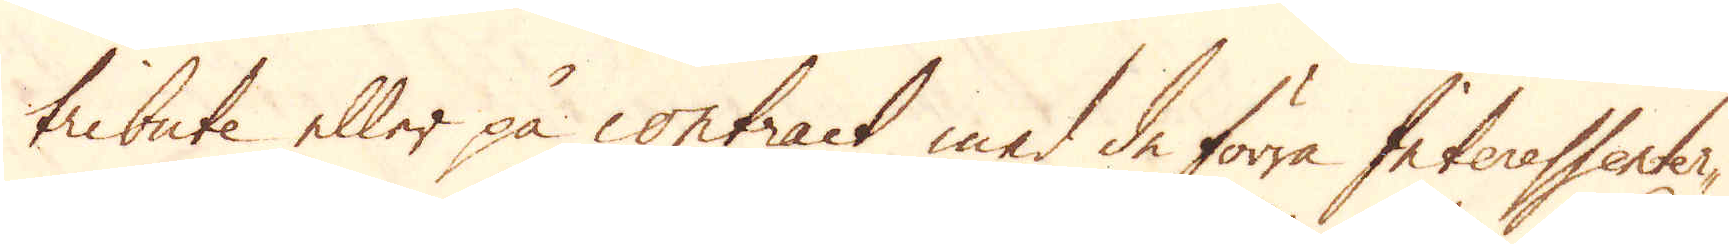tribute eller på contract med de förra Interessenter-
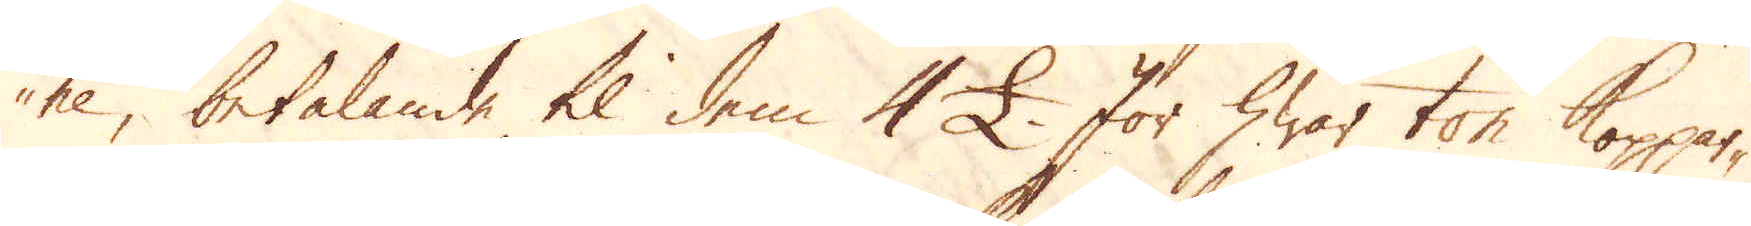ne, betalande til dem 4 £. För hwar ton Koppar-
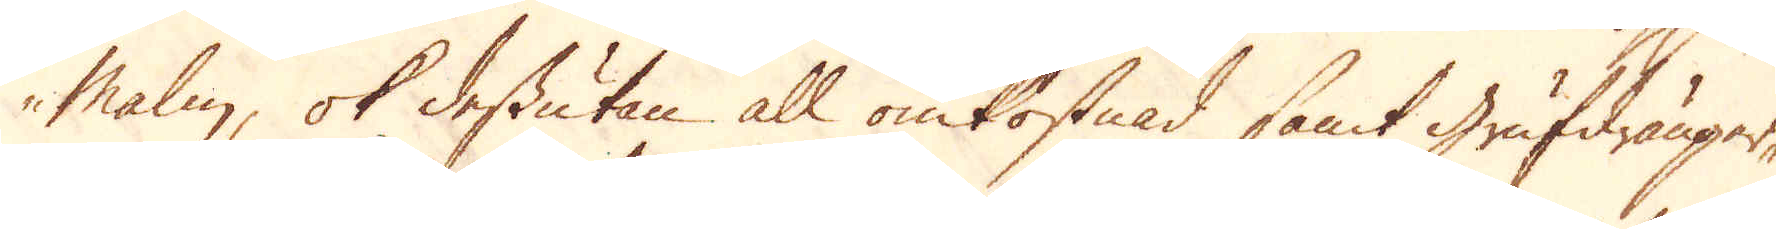malm, ok dessutan all omkostnad, samt grufdränger-
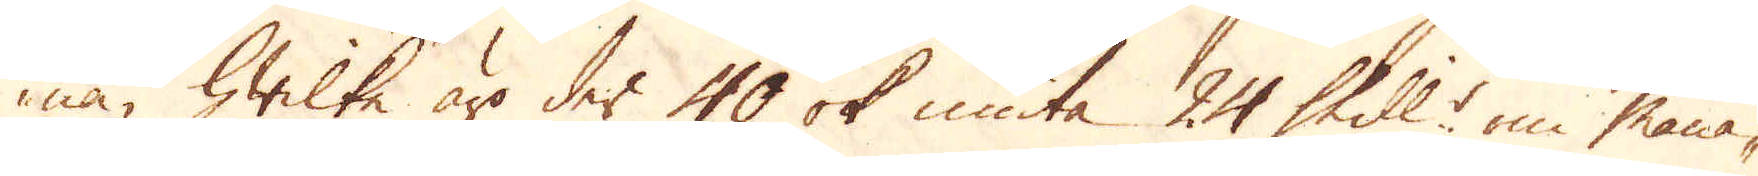na, hwilka äro der 40 ok niuta 24 Skill:r om måna-
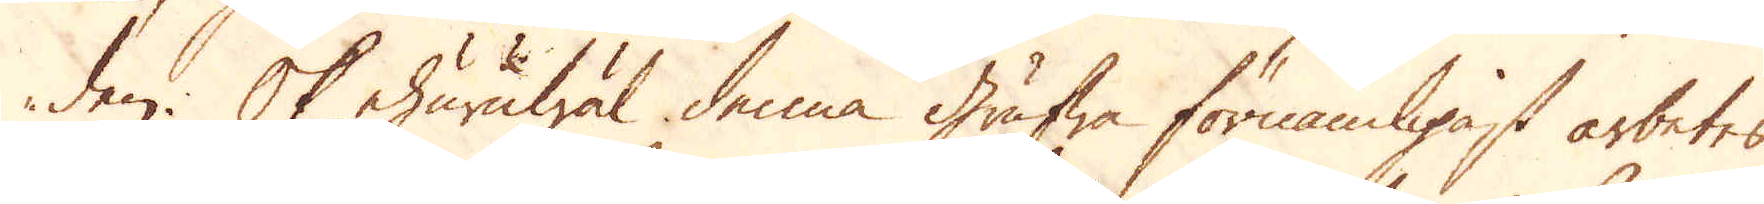den. Ok ehuruwäl denna grufwa förnämligast arbetes,
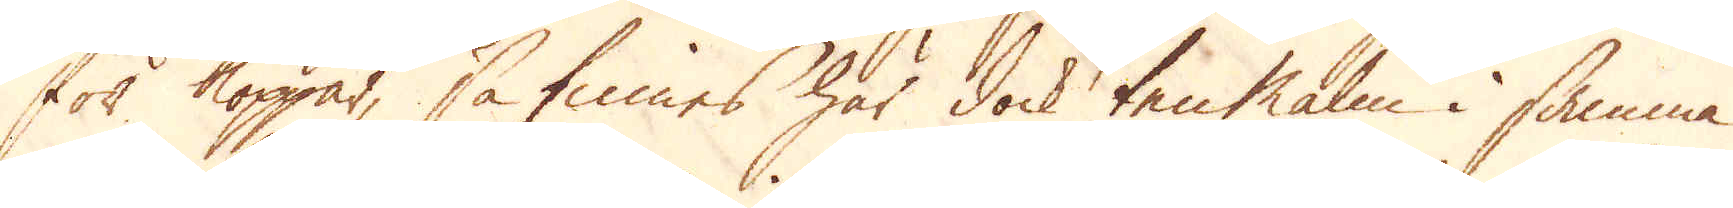för Koppar, så finnes här dock ten Malm i samma
